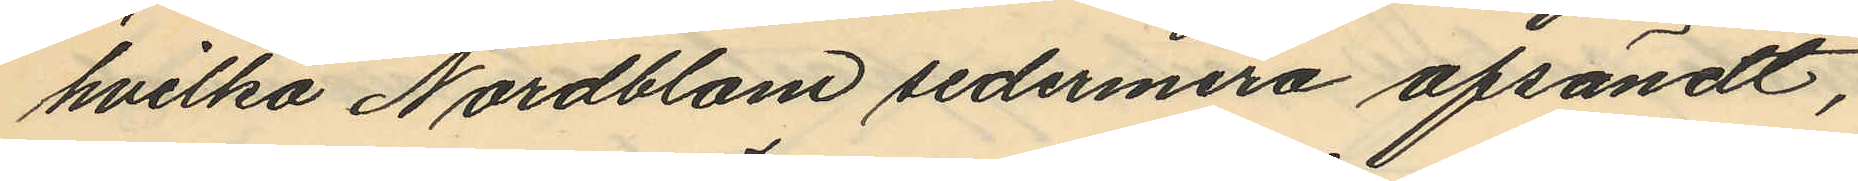hvilka Nordbland sedermera afsändt,
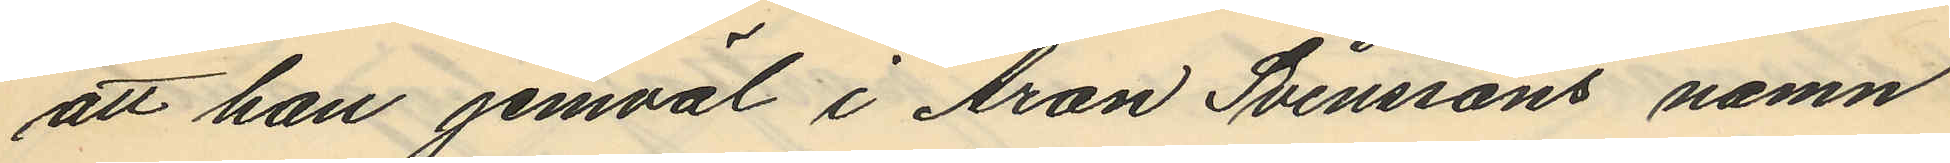att han jemväl i Aron Svenssons namn
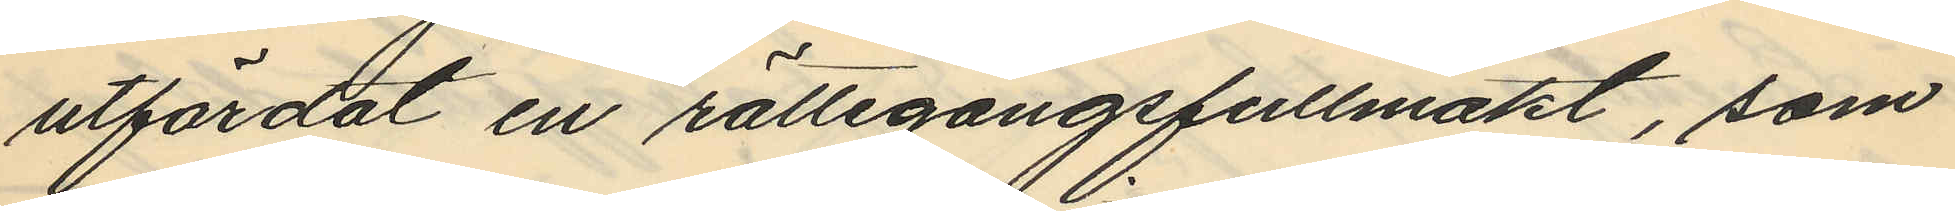utfärdat en rättegångsfullmakt, som
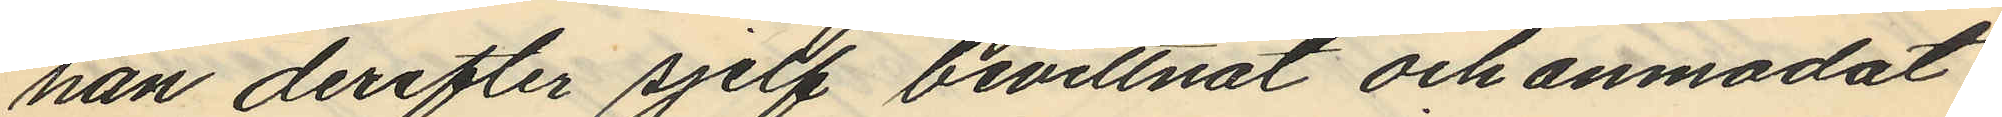han derefter sjelf bevittnat och anmodat
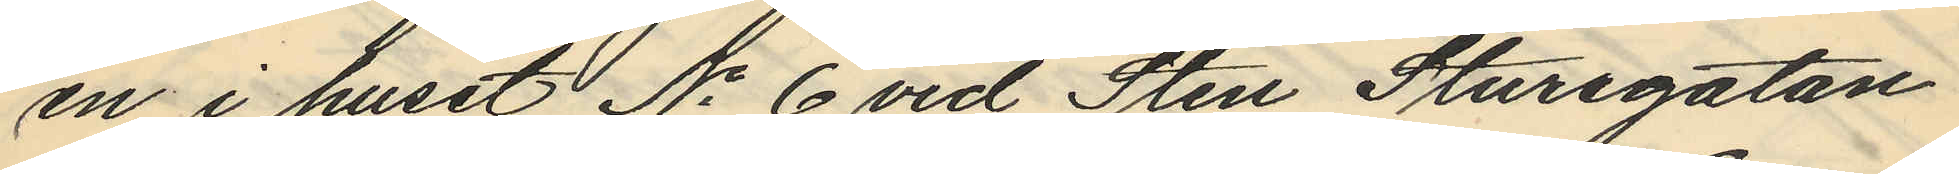en i huset No 6 vid Sten Sturegatan
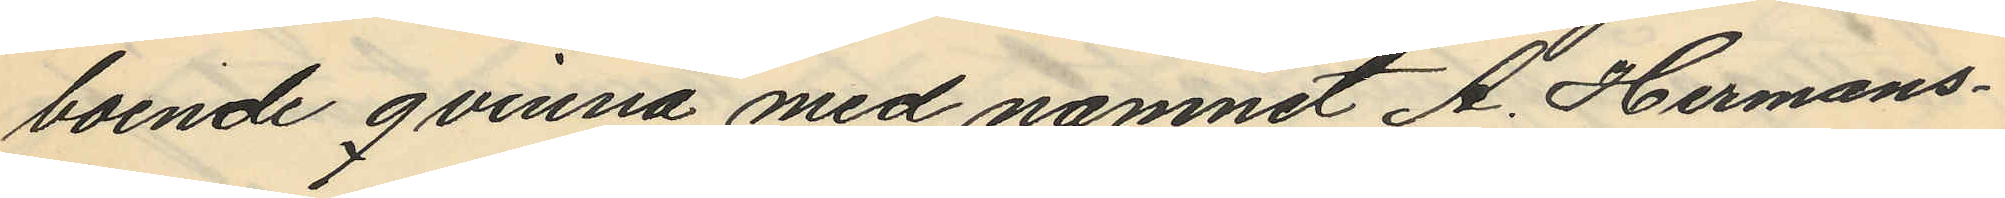boende qvinna med namnet A. Hermans¬
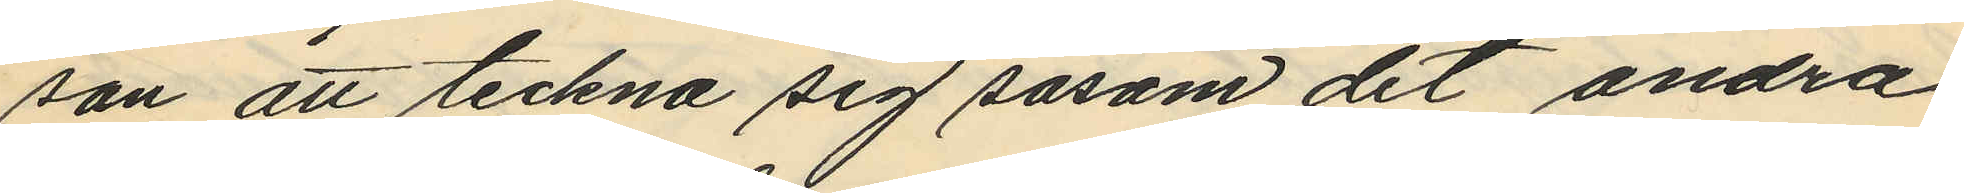son att teckna sig såsom det andra
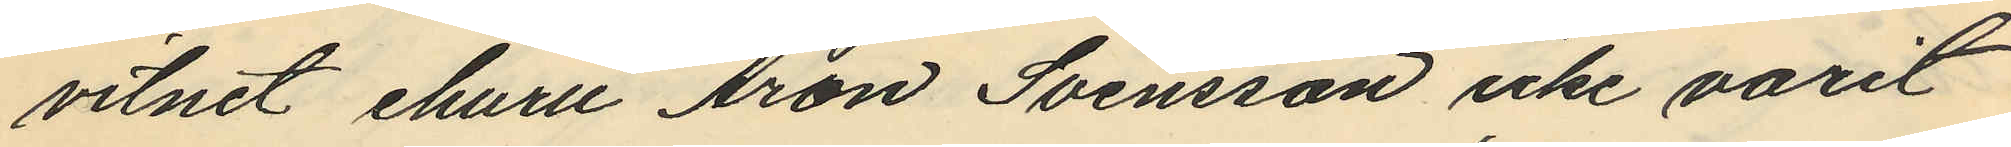vitnet ehuru Aron Svensson icke varit
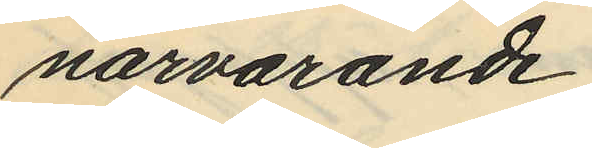närvarande.
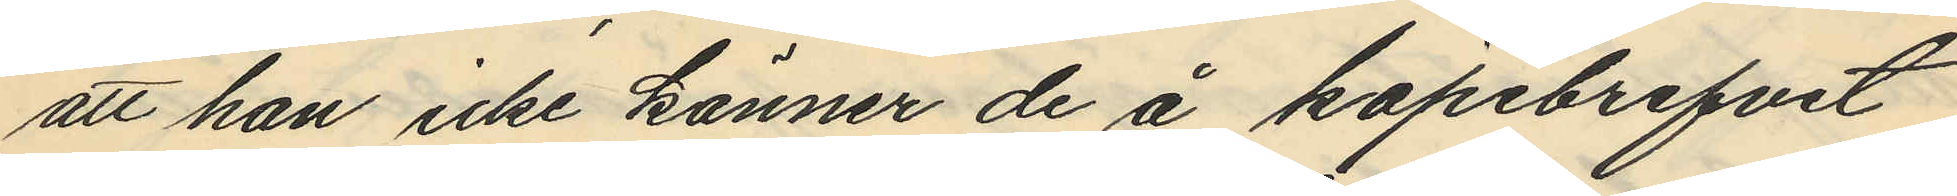att han icke känner de å köpebrefvet
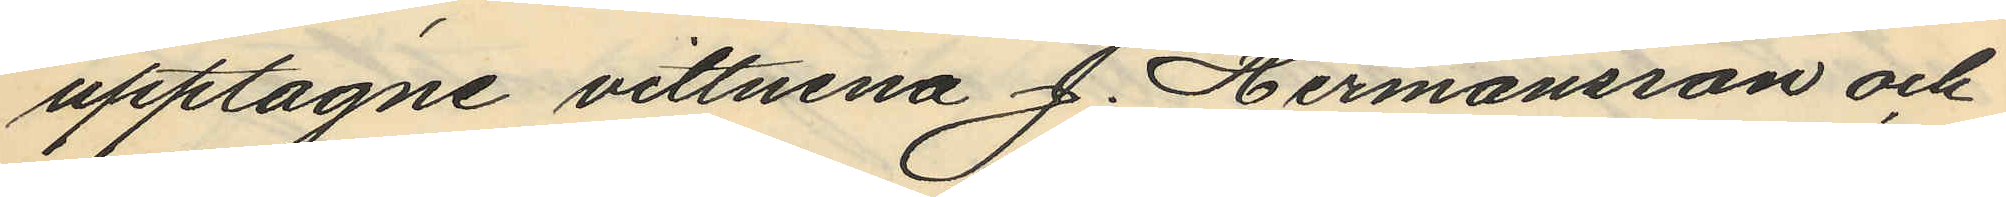upptagne vittnena J. Hermansson och
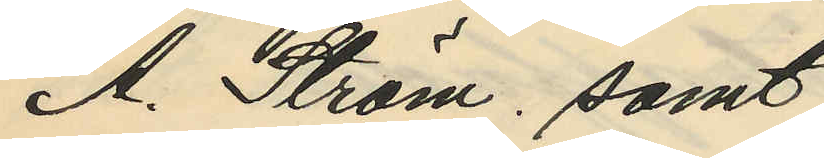A. Ström, samt
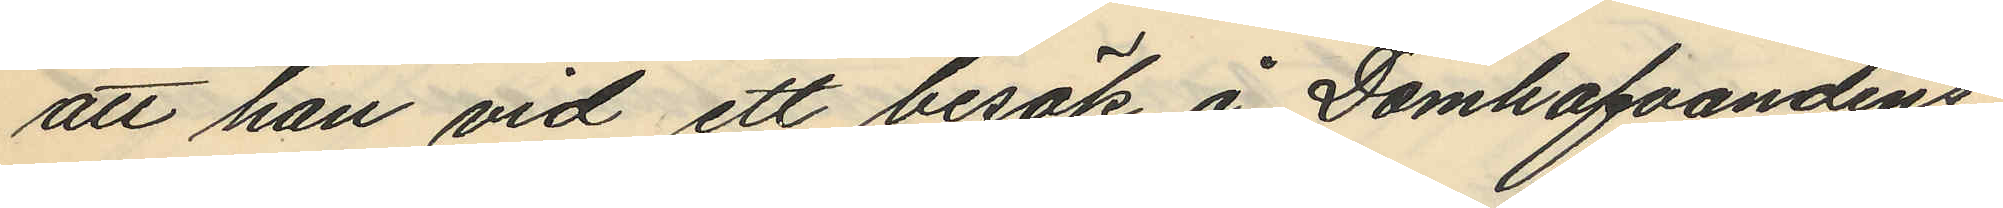att han vid ett besök å Domhafvandens
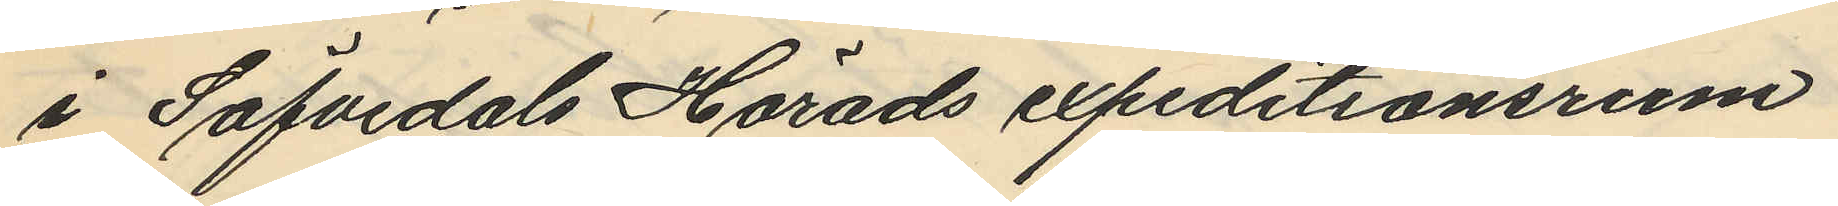i Säfvedals Härads expeditionsrum
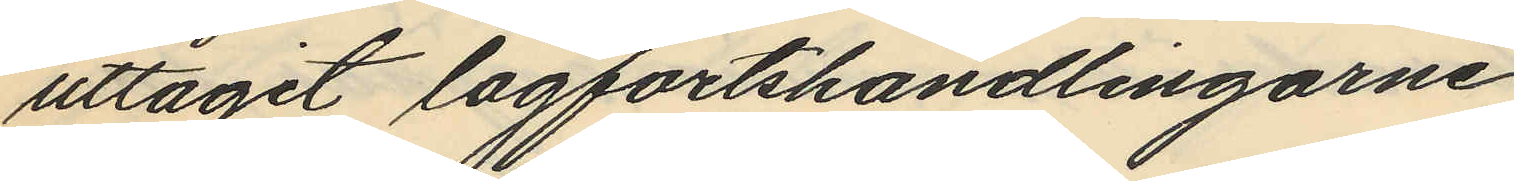uttagit lagfartshandlingarne
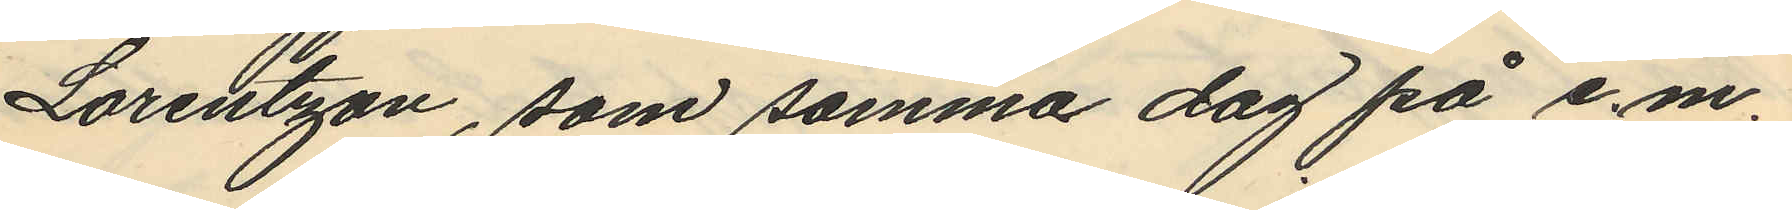Lorentzon, som samma dag på e.m.
